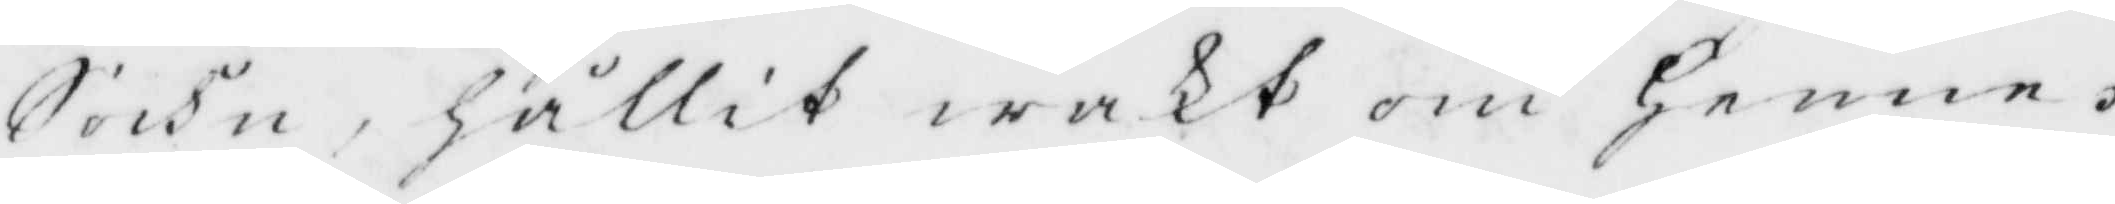Sockn, hållit wakt om henne.
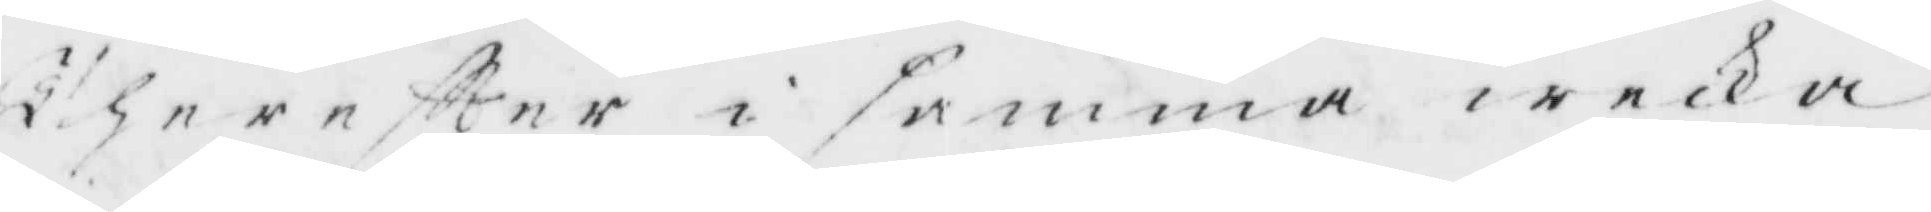ther eftter i samma wecka
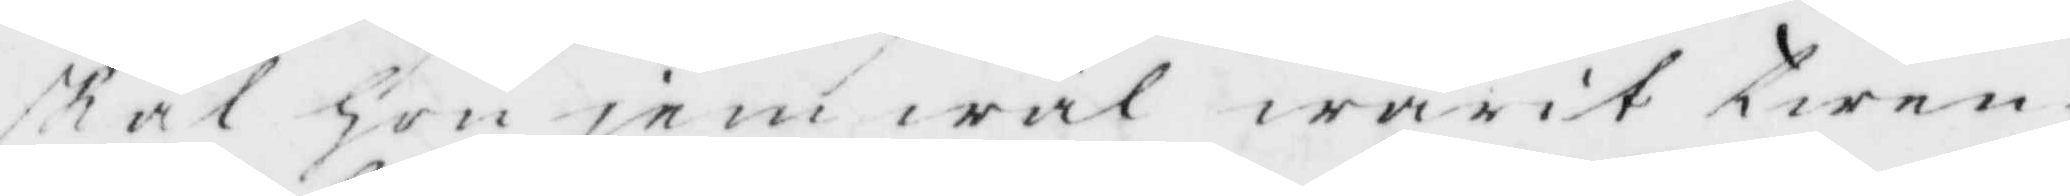skal Hon jemwäl warit twen¬
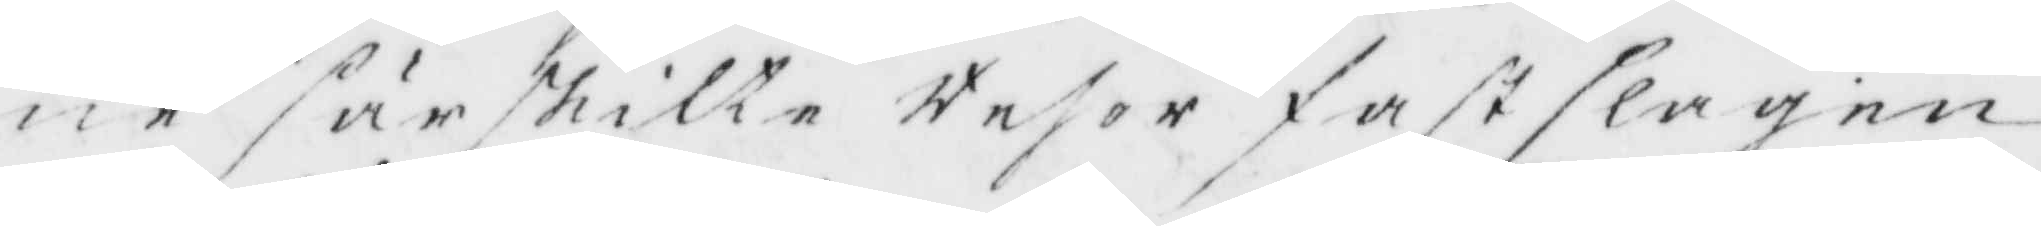ne särskilte resor fastslagen
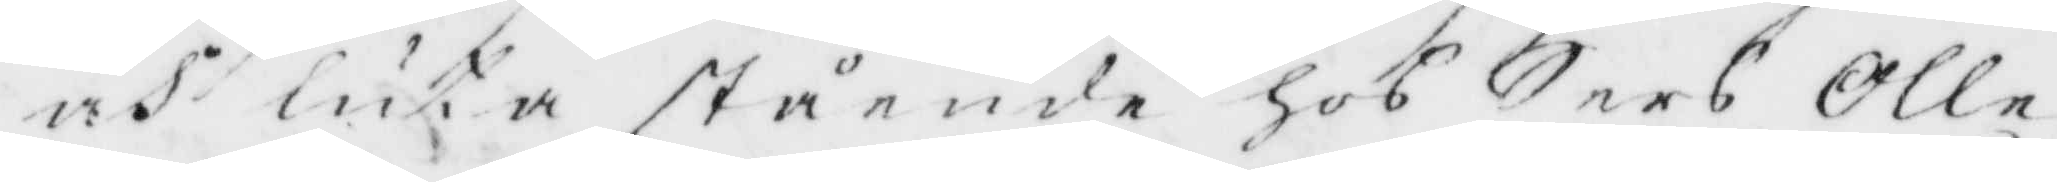och luta stående hos Sers Olle
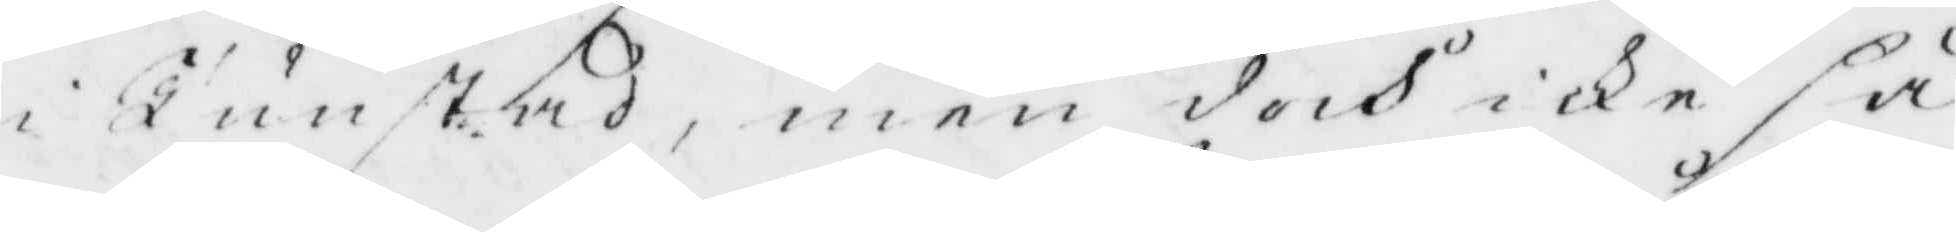i Tunstad, men doch icke sp
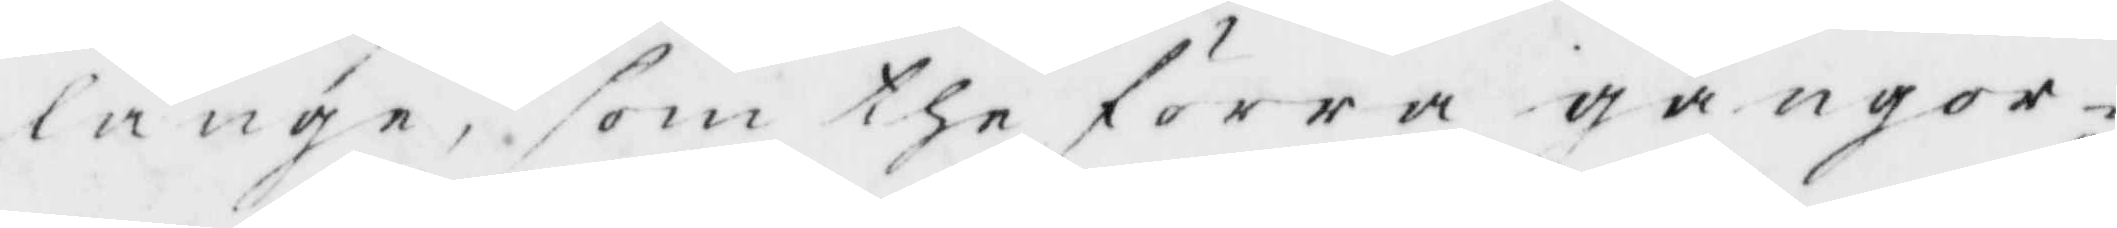länge, som the förra gånger¬
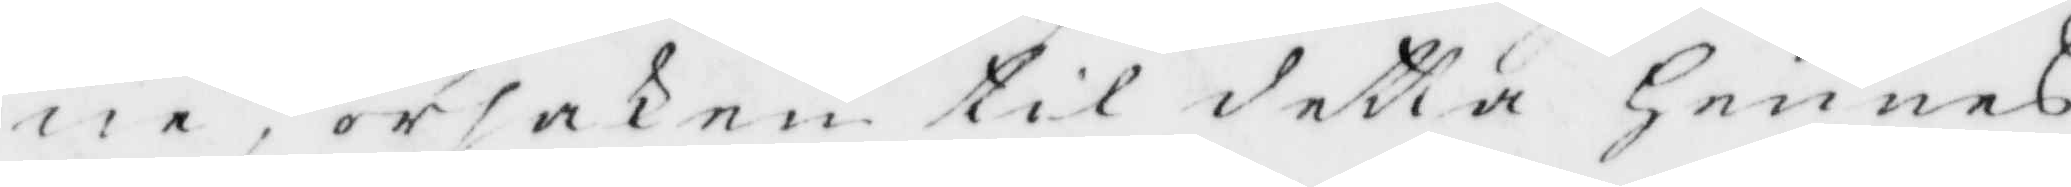ne, orsaken til detta Hennes
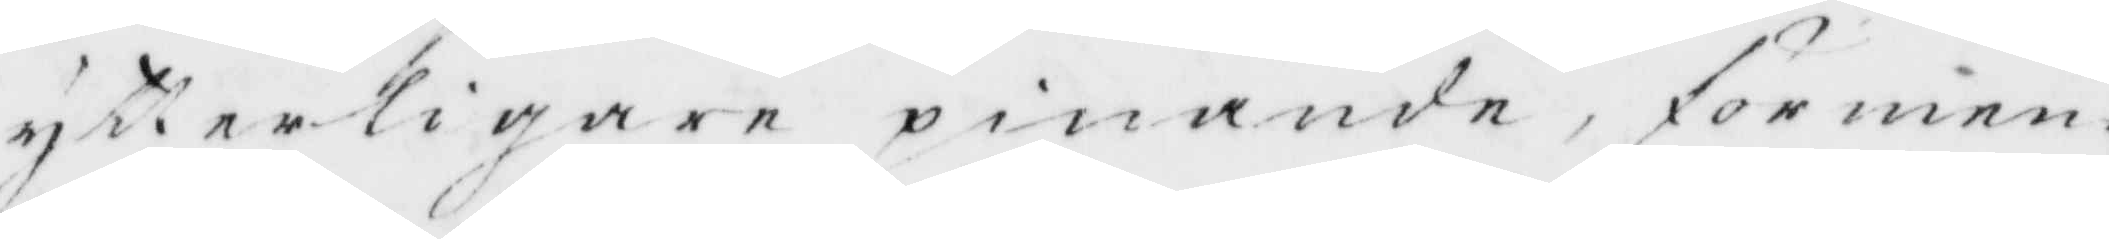ytterligare pinande förmen¬
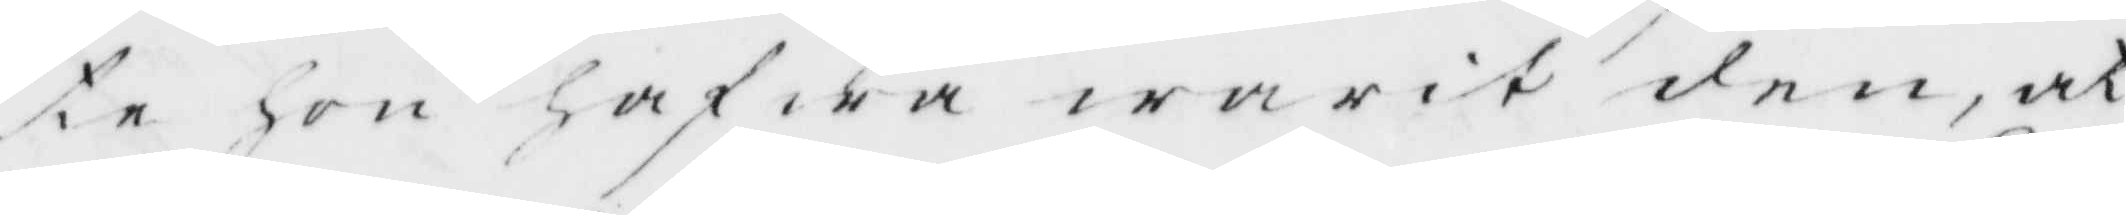te hon hafwa warit den, at
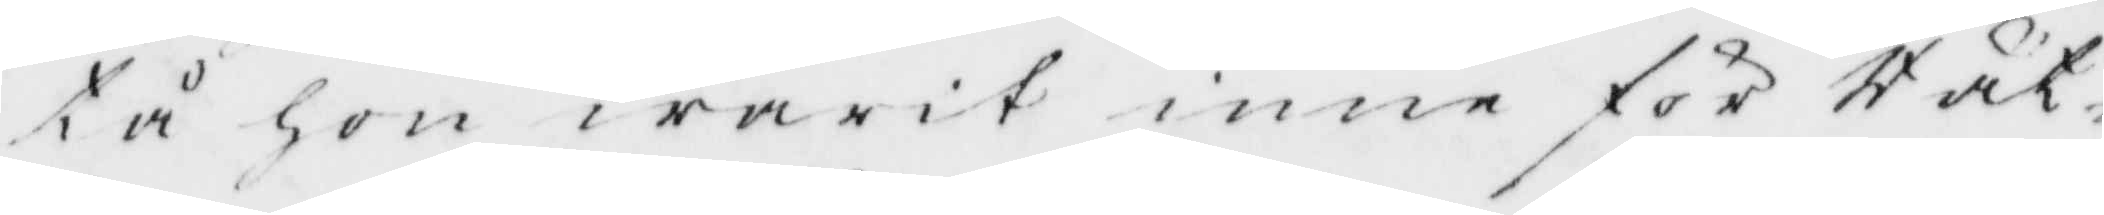tå hon warit inne för Rät¬
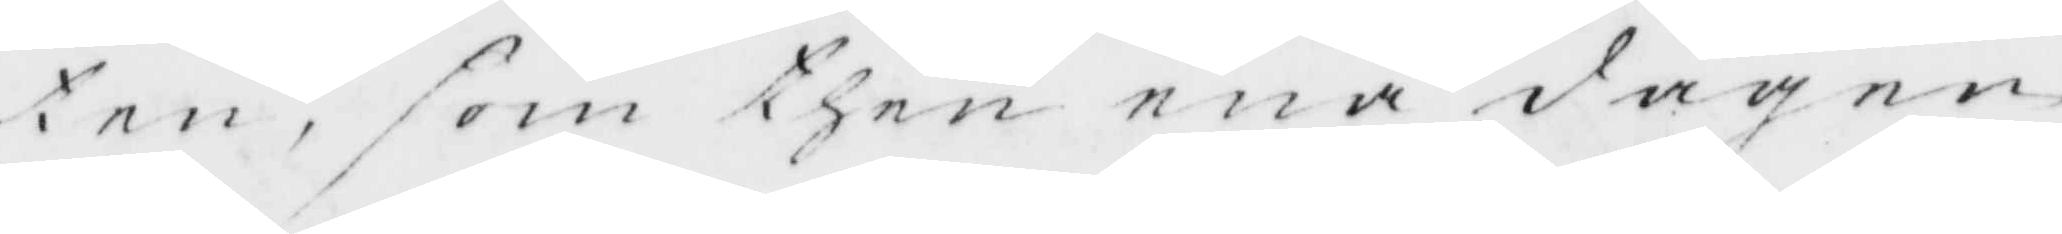ten, som then ena dagen
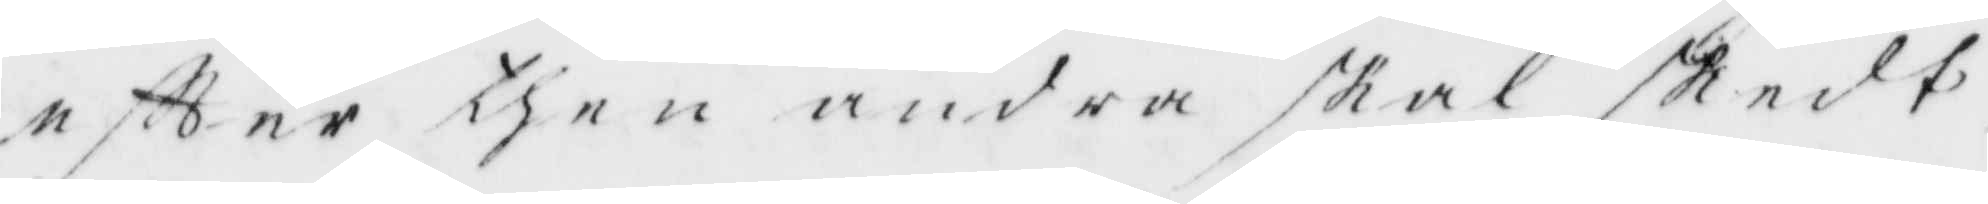eftter then andra skal skedt,
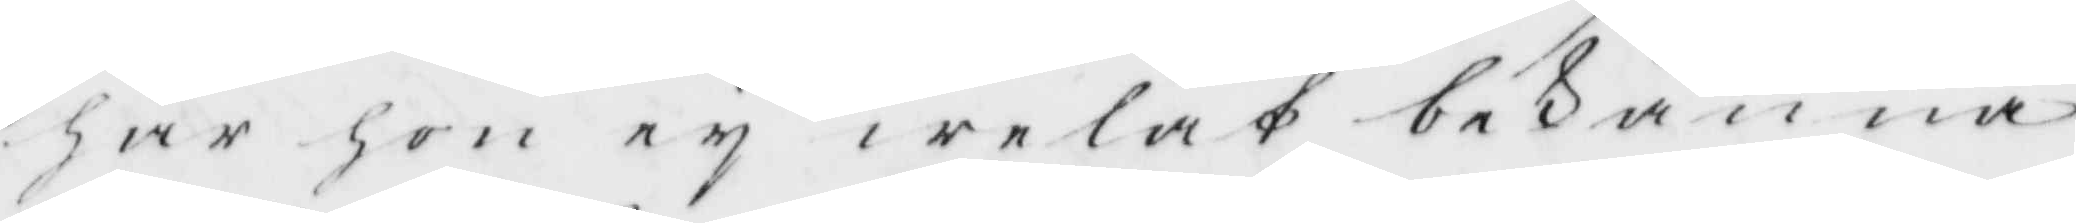har hon ey welat besanna
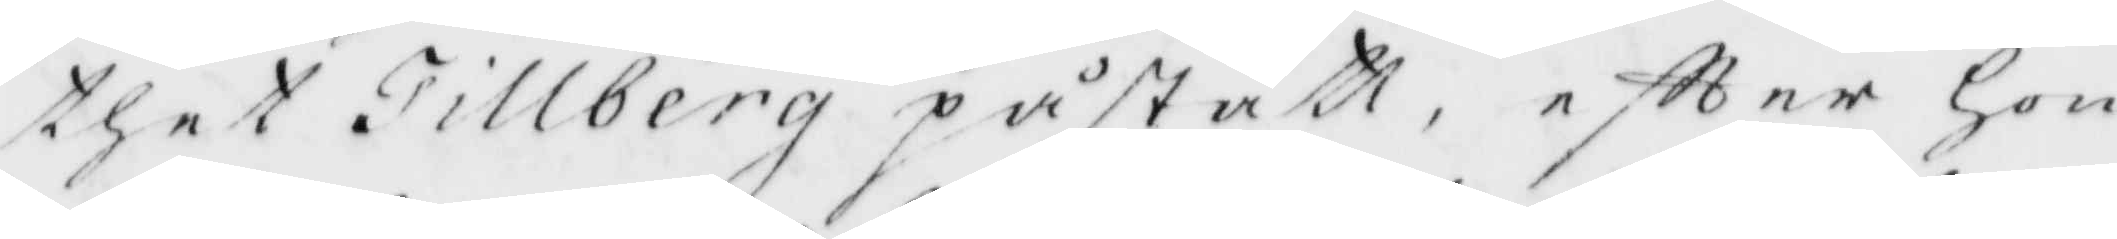thet Tillberg påstådt, eftter hon
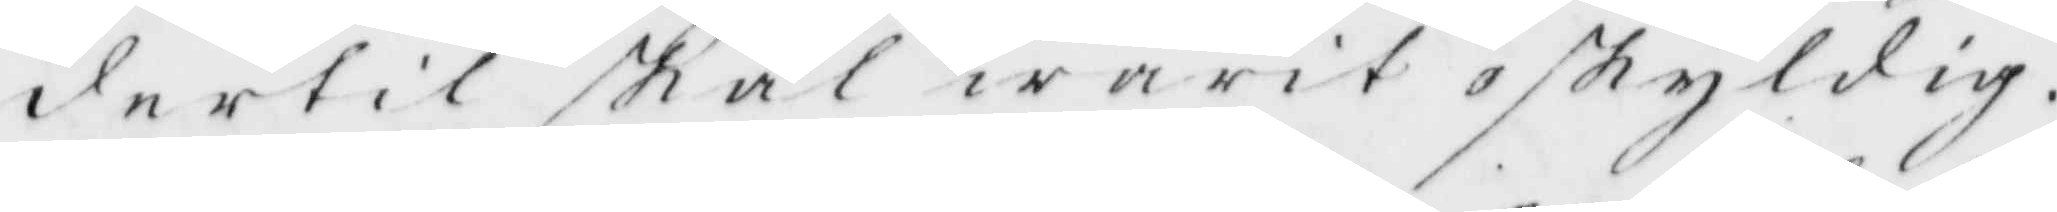dertil skal warit oskyldig.
